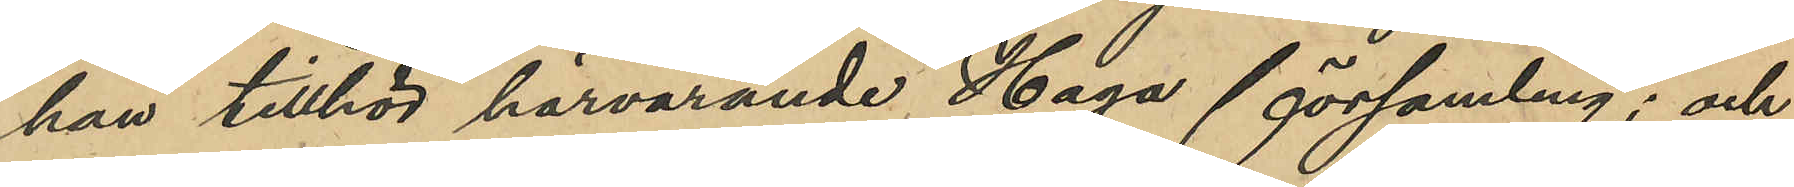han tillhör härvarande Haga församling; och
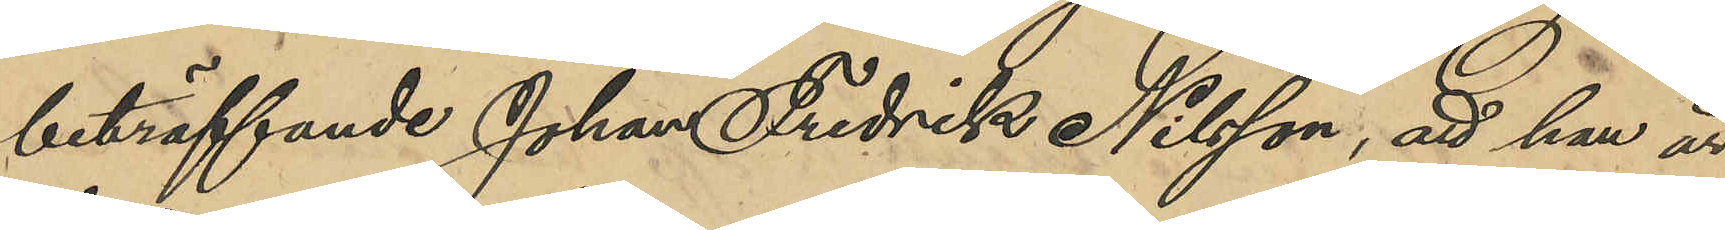beträffande Johan Fredrik Nilsson, att han är
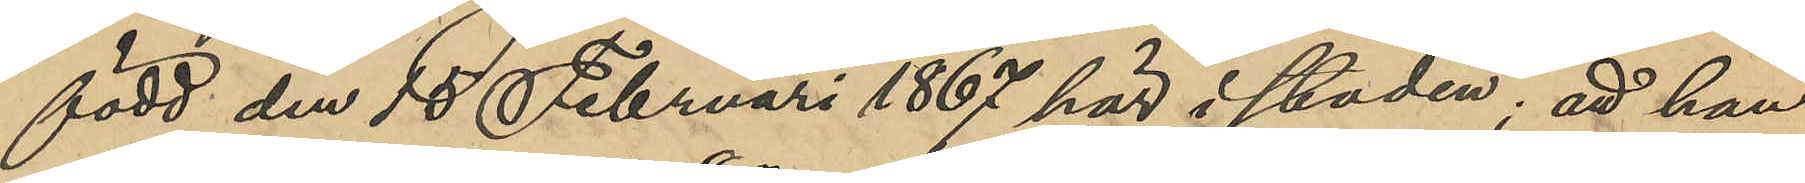född den 15 Februari 1867 här i staden; att han
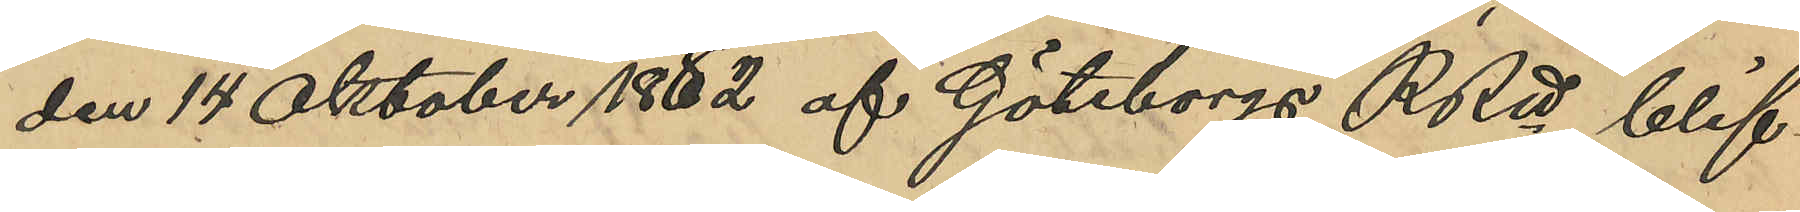den 14 Oktober 1882 af Göteborgs RRtt blif¬
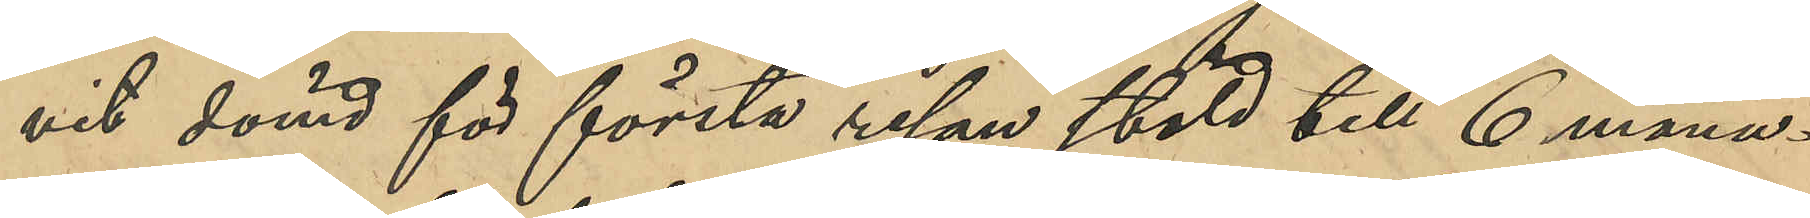vit dömd för första resan stöld till 6 måna¬
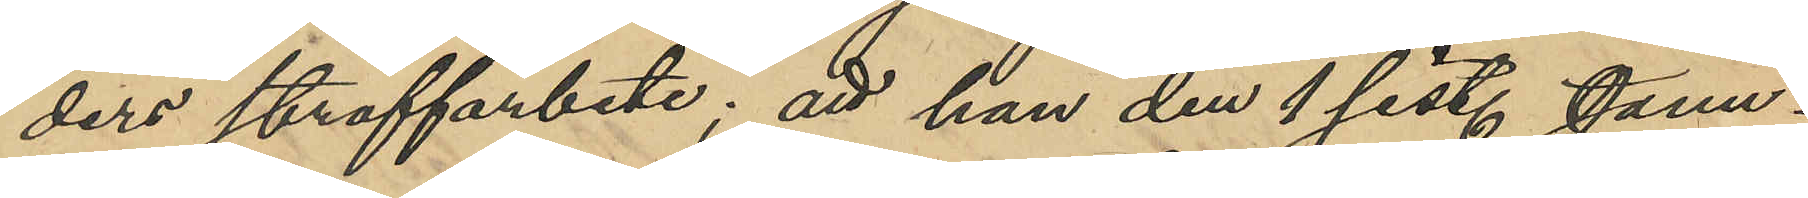ders straffarbete; att han den 1 sist. Janu¬
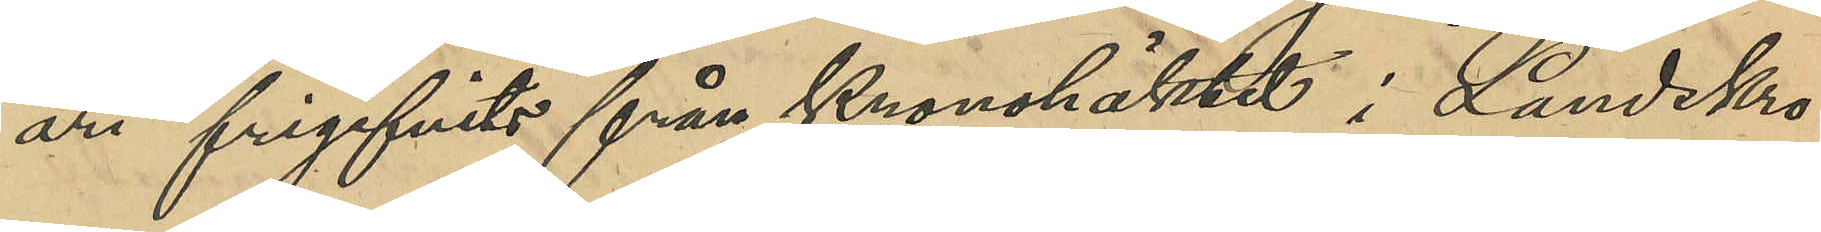ari frigifvits från Kronohäktet i Landskro¬
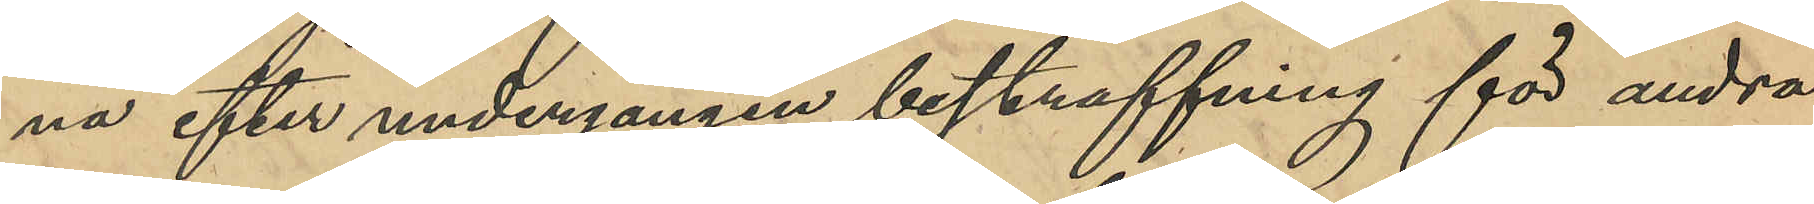na efter undergången bestraffning för andra
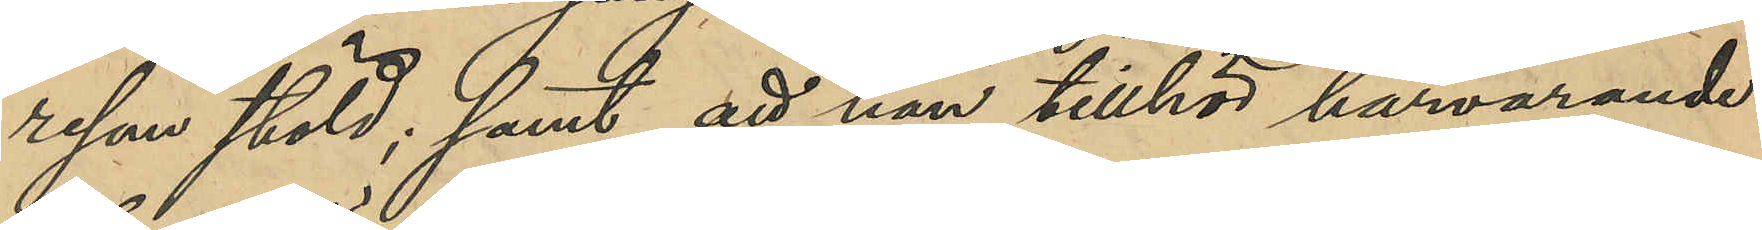resan stöld; samt att han tillhör härvarande
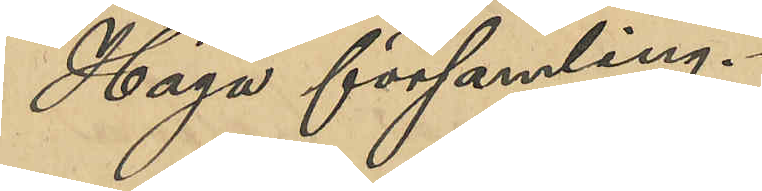Haga församling.
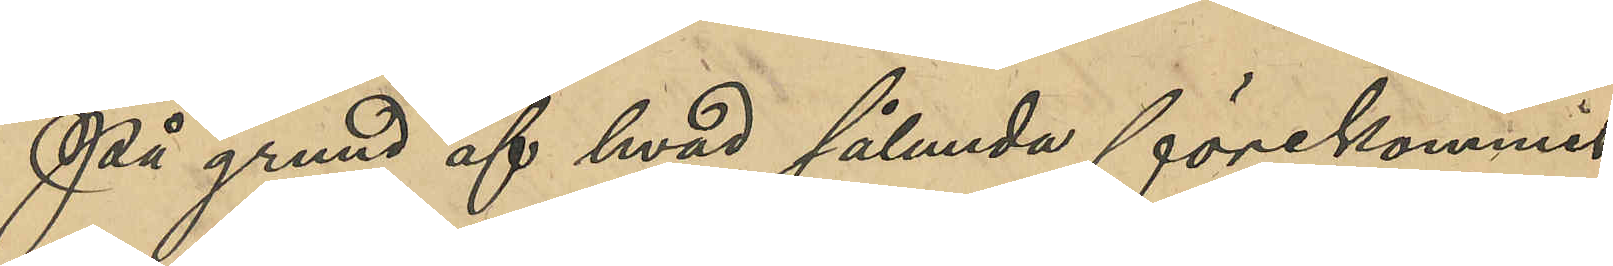På grund af hvad sålunda förekommit
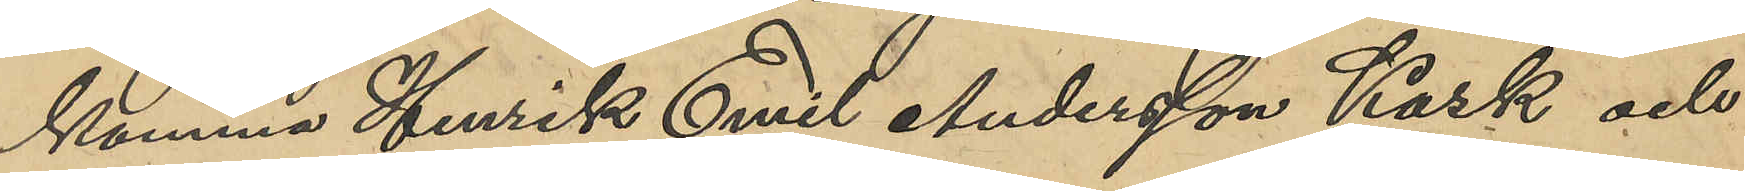komma Hanrik Emil Andersson Kask och
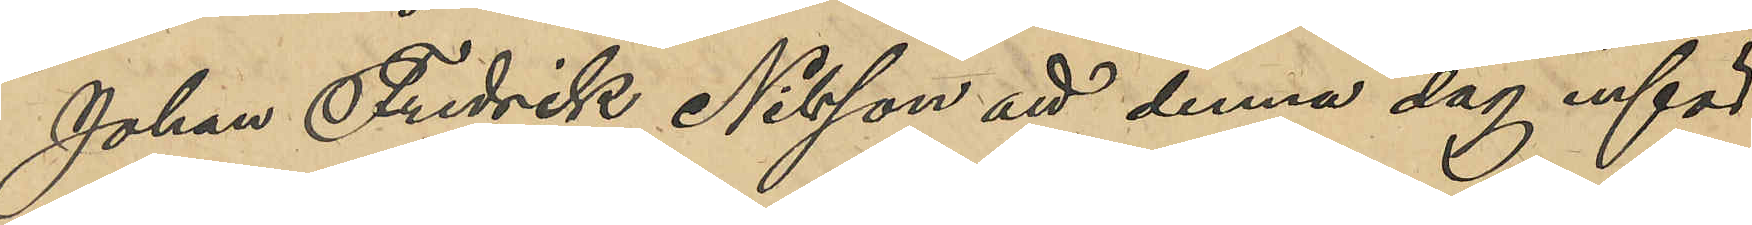Johan Fredrik Nilsson att denna dag inför
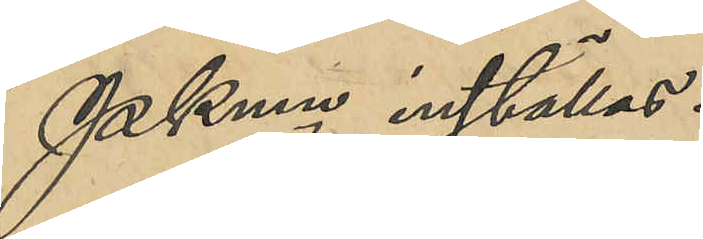PKmn inställas.
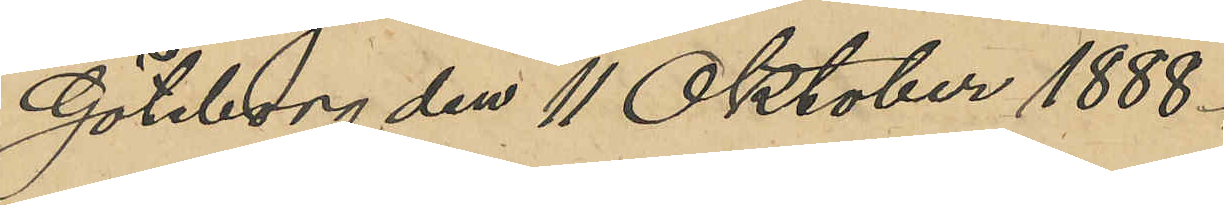Göteborg den 11 Oktober 1888.
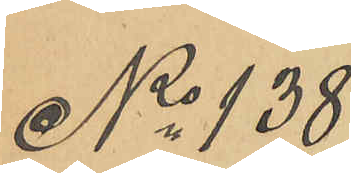No 138
